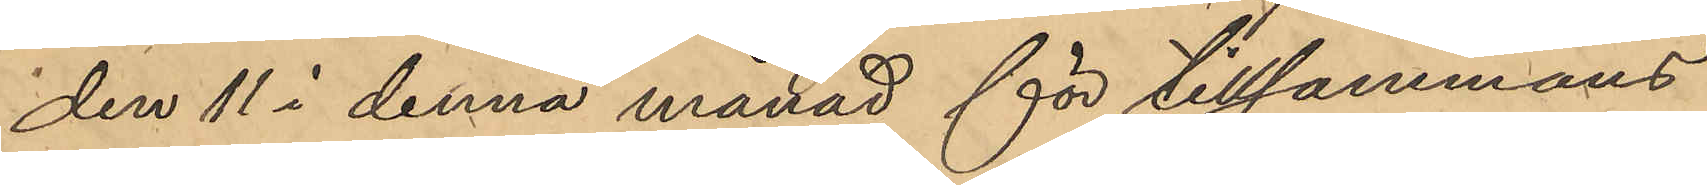den 11 i denna månad för tillsammans
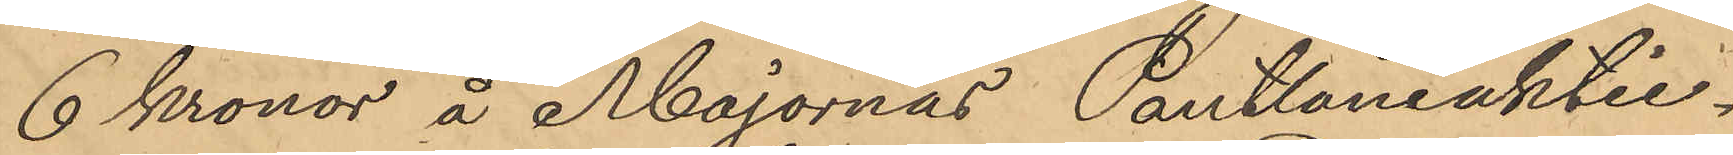6 Kronor å Majornas Pantlåneaktie¬
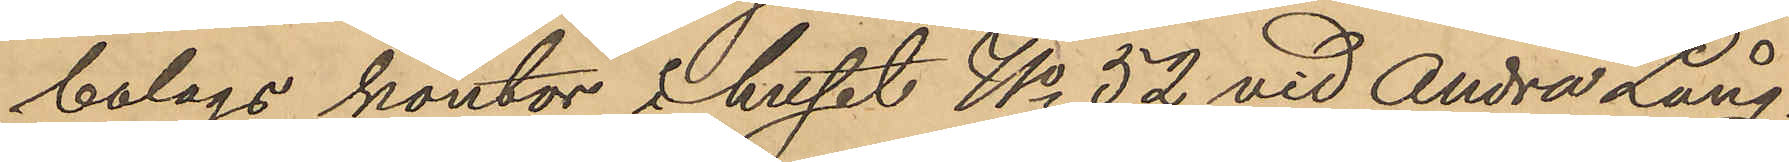bolags kontor i huset No 52 vid Andra Lång¬
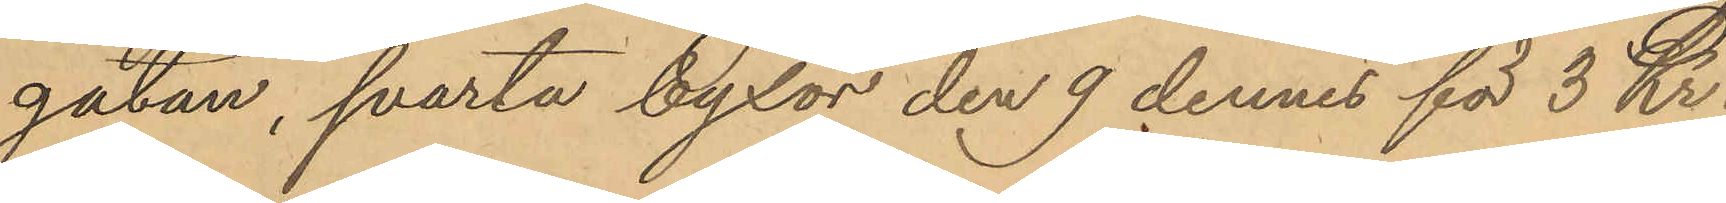gatan, svarta byxor den 9 dennes för 3 Kr.
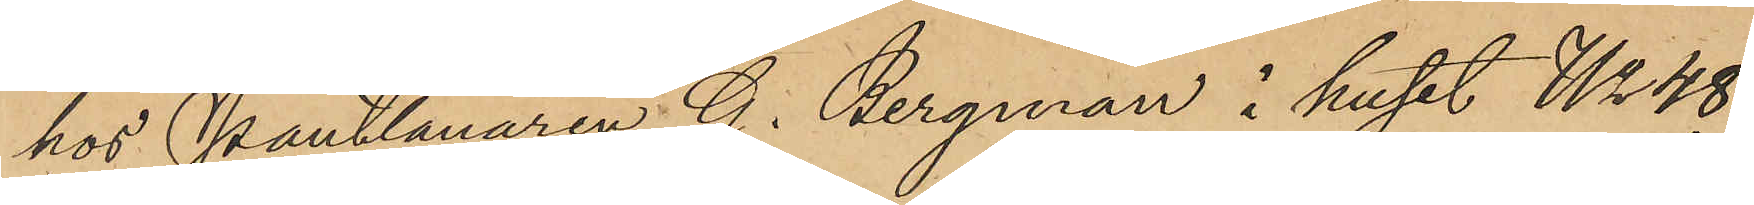hos Pantlånaren G. Bergman i huset No 48
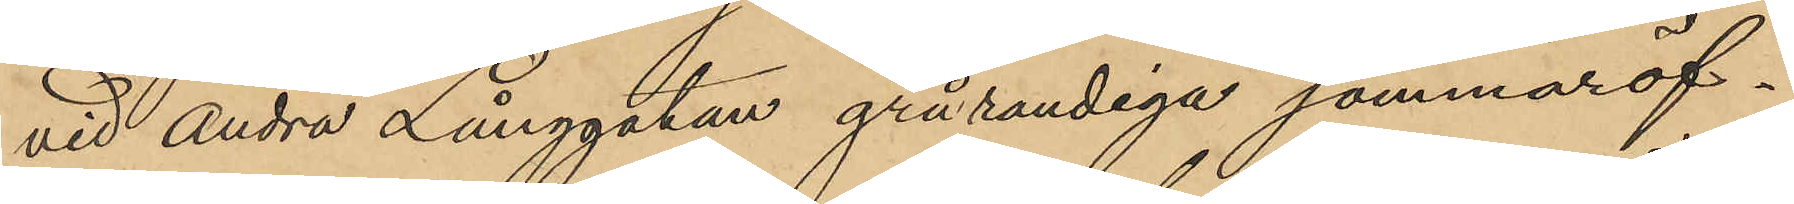vid Andra Långgatan grårandiga sommaröf¬
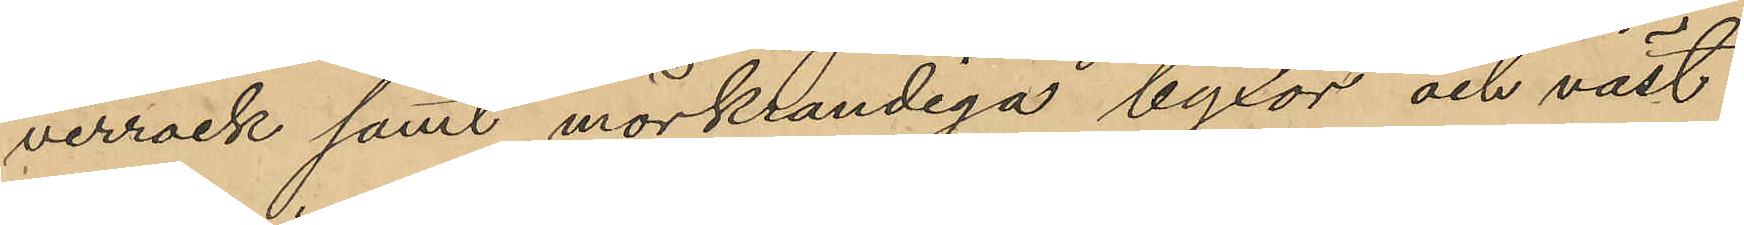verrock samt mörkrandiga byxor och väst
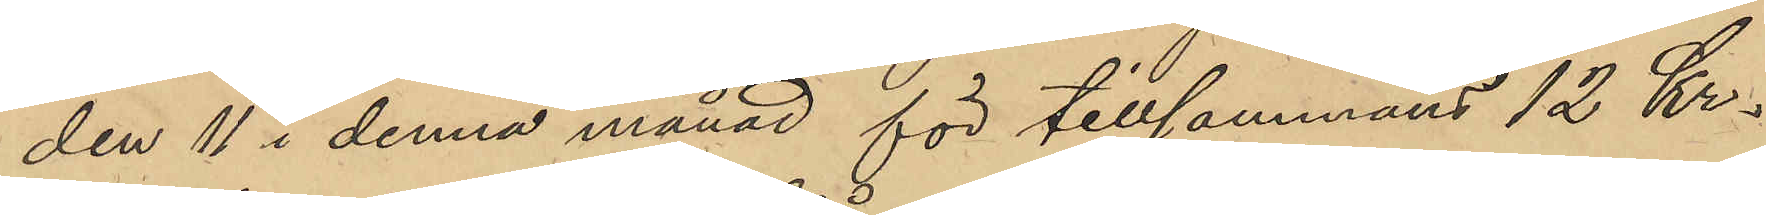den 11 i denna månad för tillsammans 12 Kr.
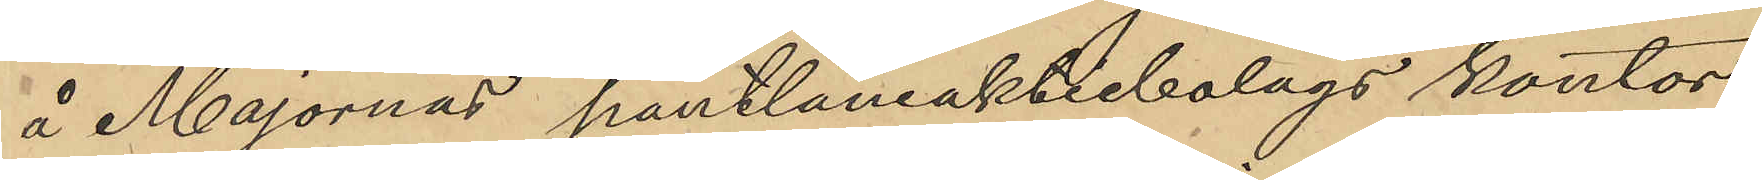å Majornas pantlåneaktiebolags kontor
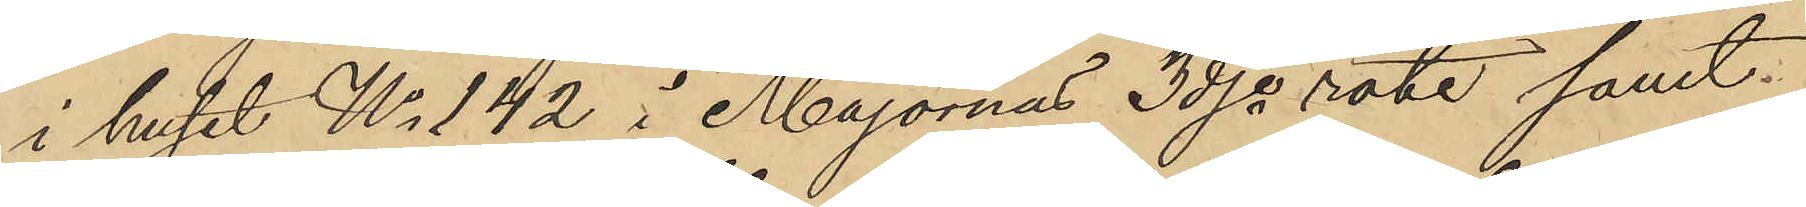i huset No 142 i Majornas 3dje rote samt
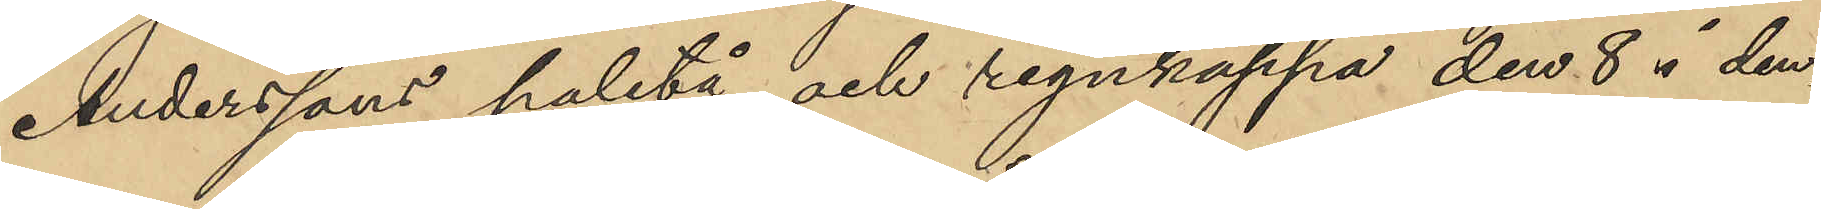Anderssons paletå och regnkappa den 8 i den¬
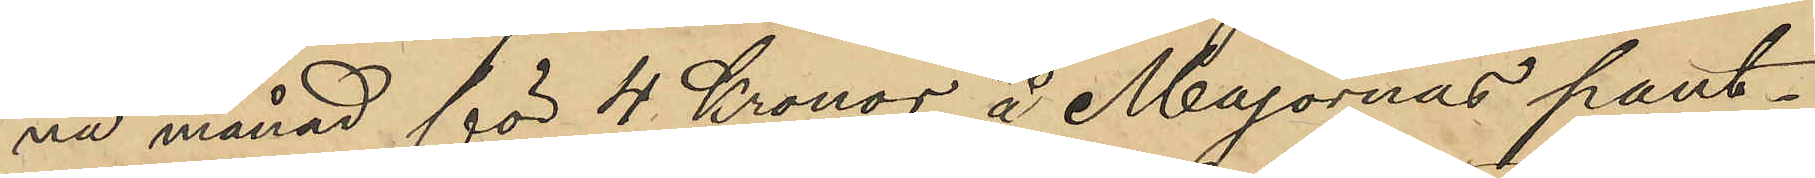na månad för 4 Kronor å Majornas pant¬
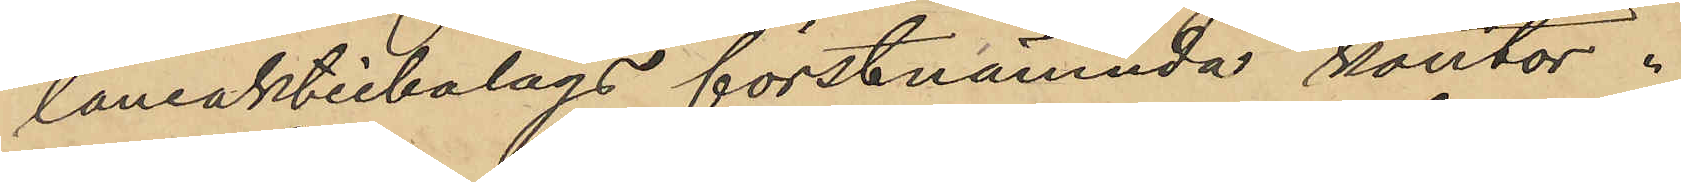låneaktiebolags förstnämnda kontor.
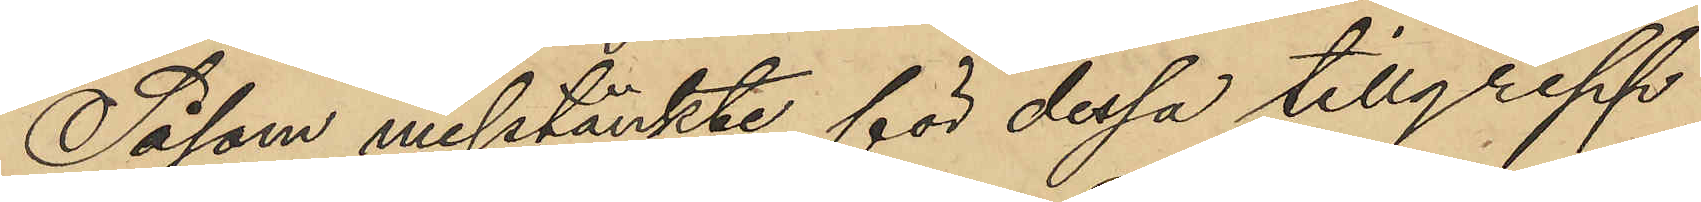Såsom misstänkte för dessa tillgrepp
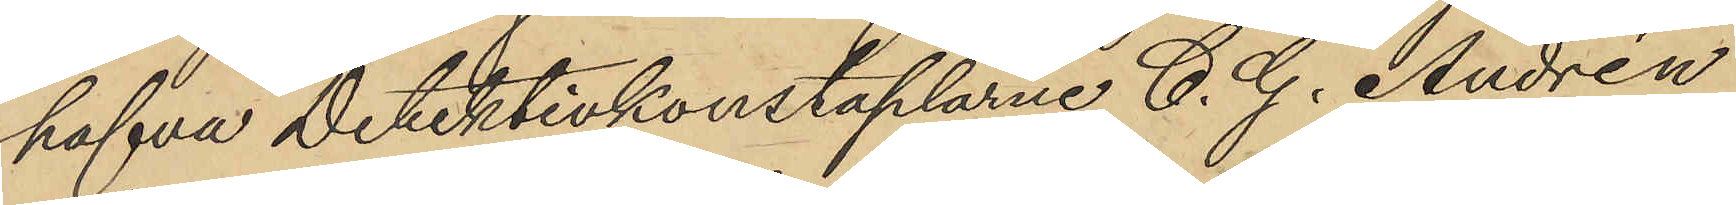hafva Detektivkonstaplarne C. G. Andrén
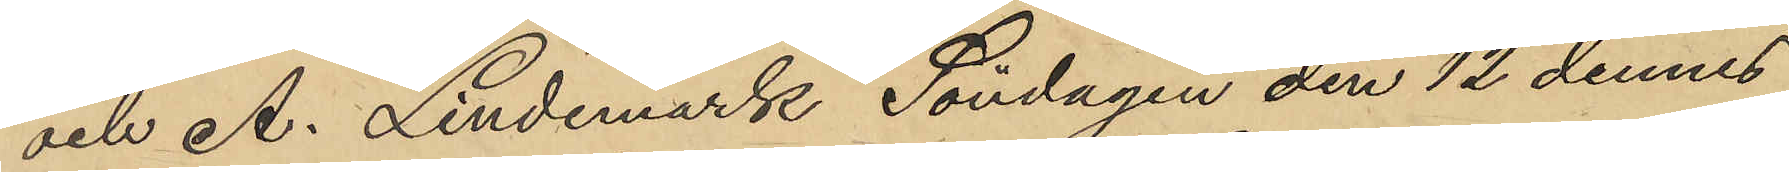och A. Lindemark Söndagen den 12 dennes
